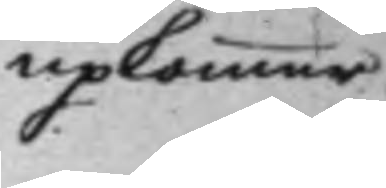upkommer.
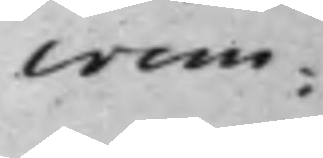crim:
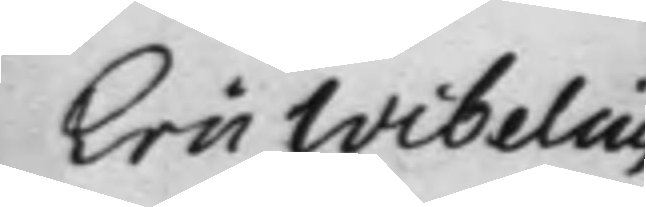Eric Wibelius 
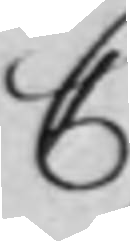C
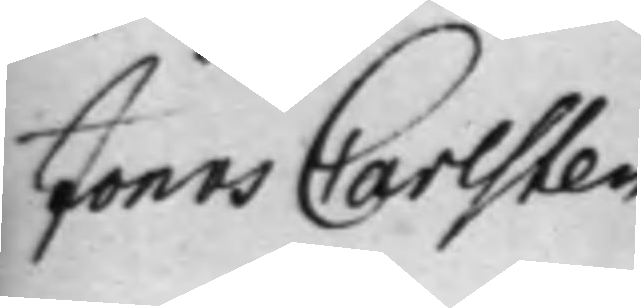Jonas Carlsten 
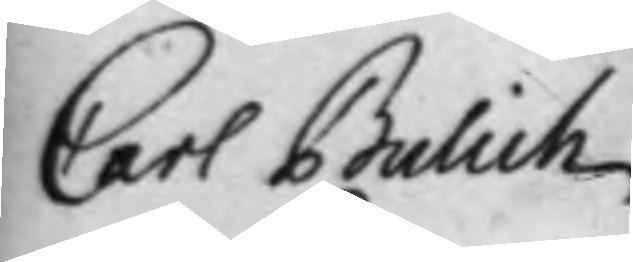Carl Bulich 
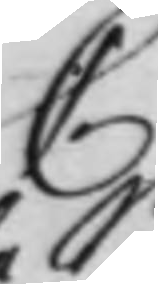C
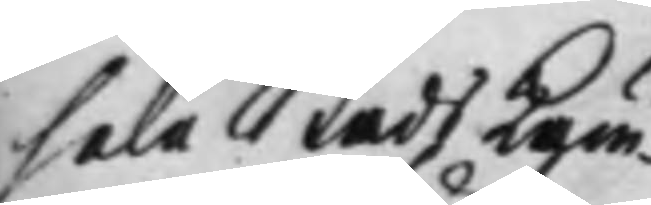Sala Stads Käm¬
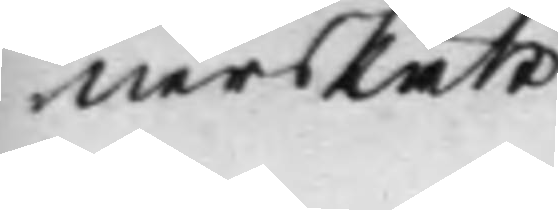nersRätt
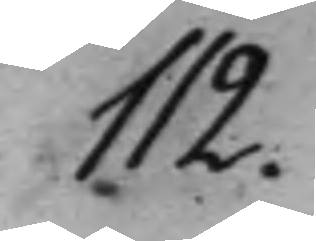112.
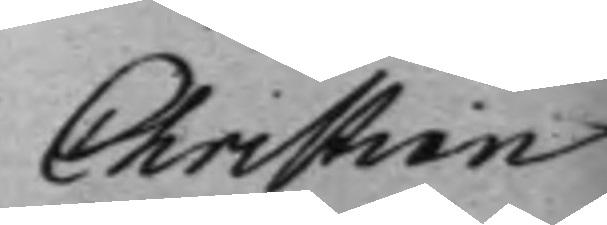Christian
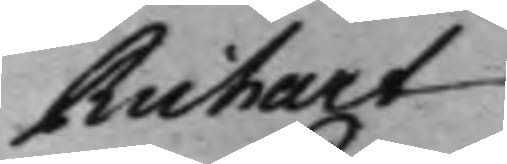Richart 
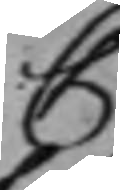C
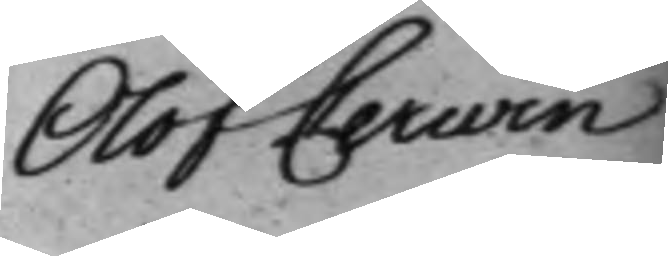Olof Cerwin
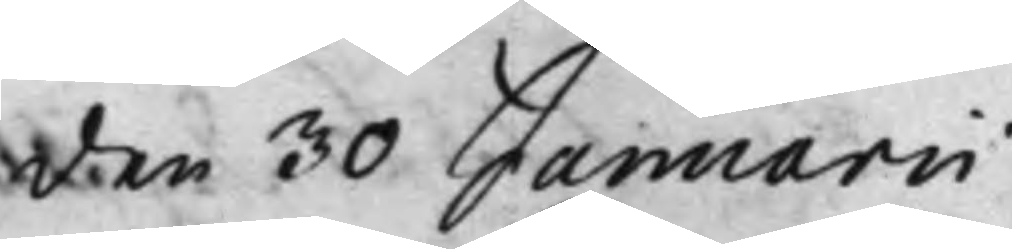den 30 Januarii
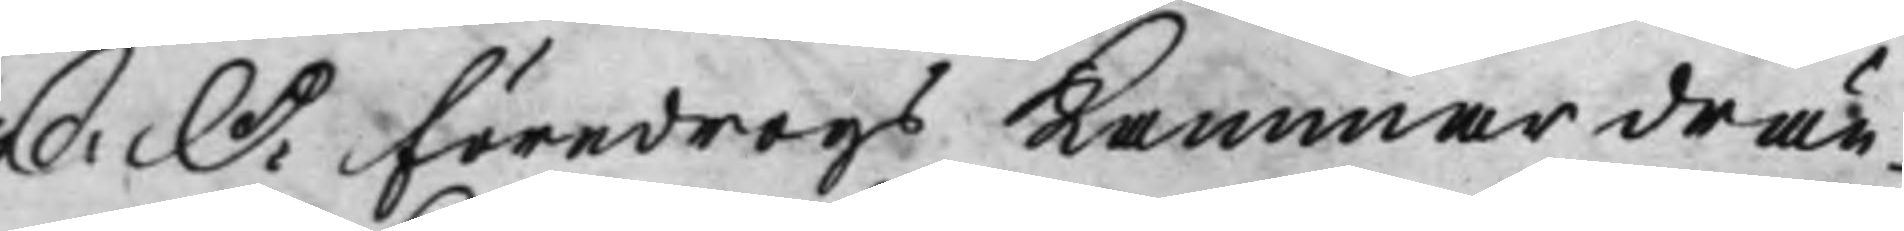S: D: föredrogs Kammardrän¬ 
